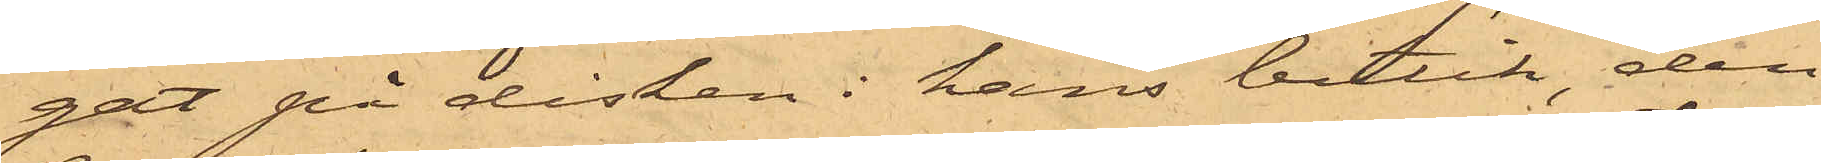gat på disken i hans butik, den
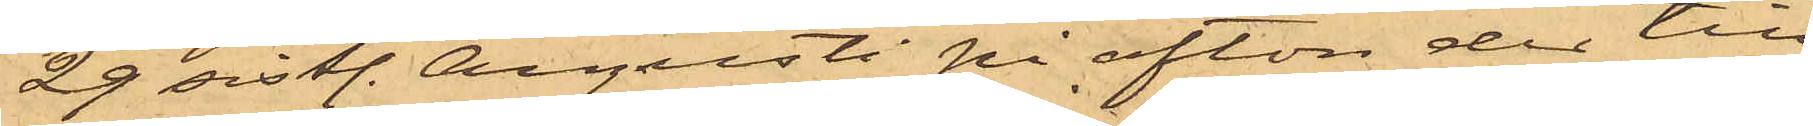29 sistl. Augusti på afton der till¬
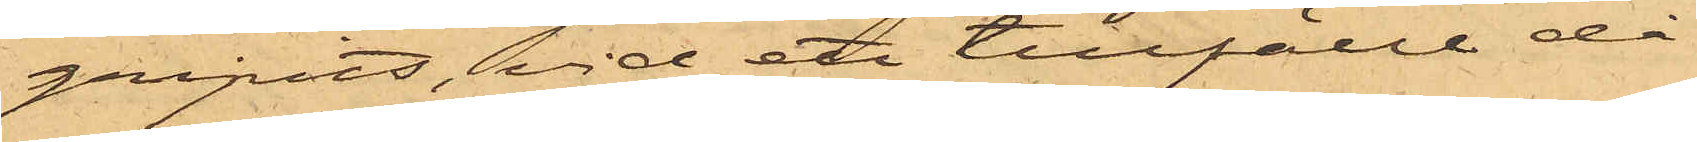gripits, vid ett tillfälle då
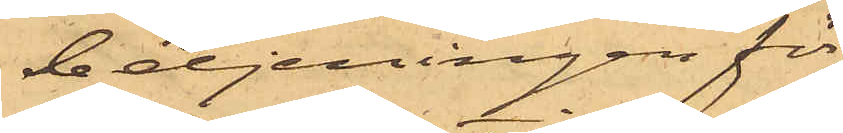betjeningen för
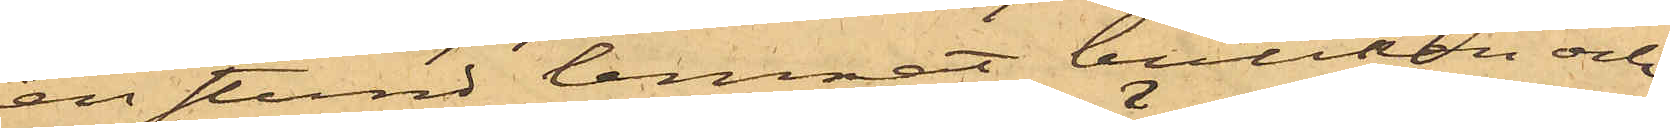en stund lemnat butiken och
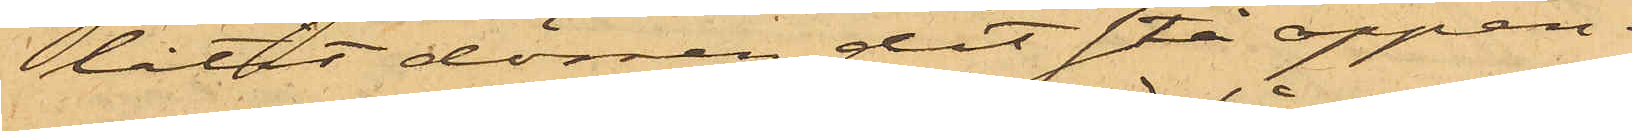låtit dörren dit stå öppen.
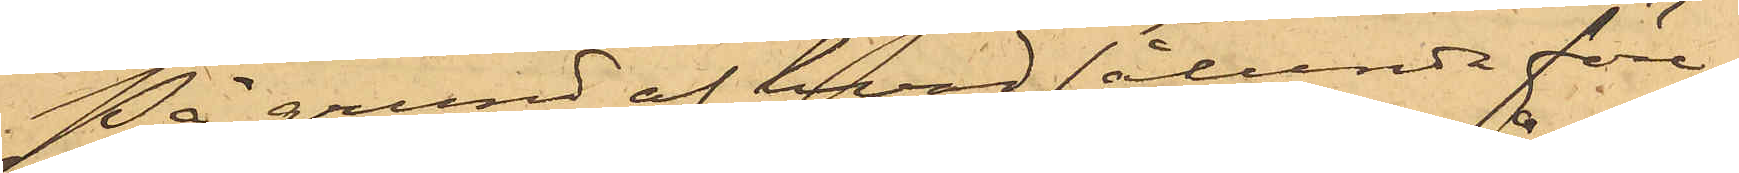På grund af hvad sålunda före¬
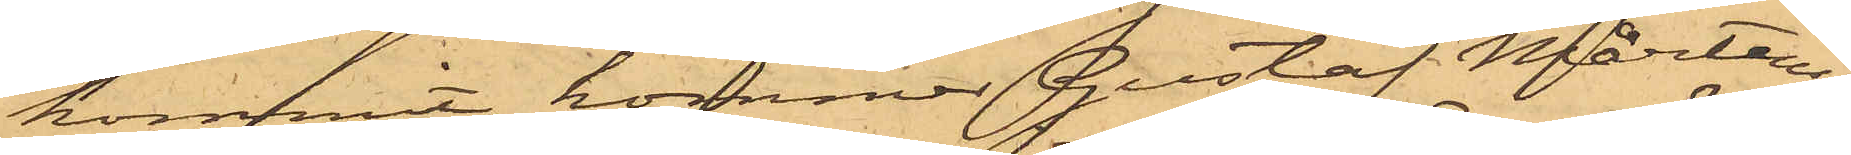kommit, kommer Gustaf Mårtens¬
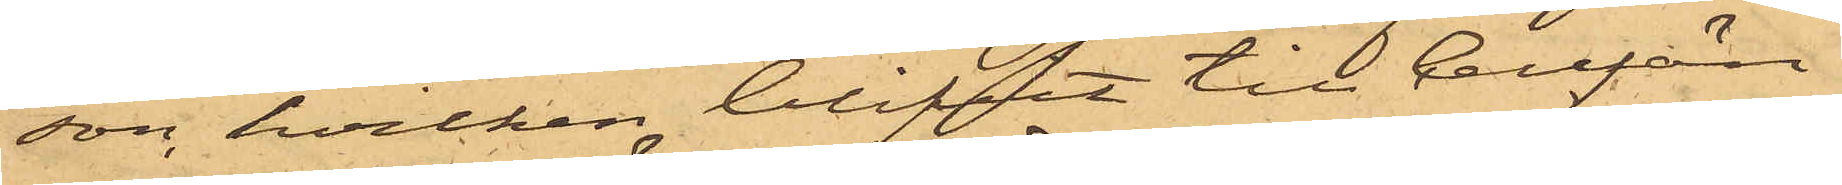son, hvilken blifvit till Cellfän¬
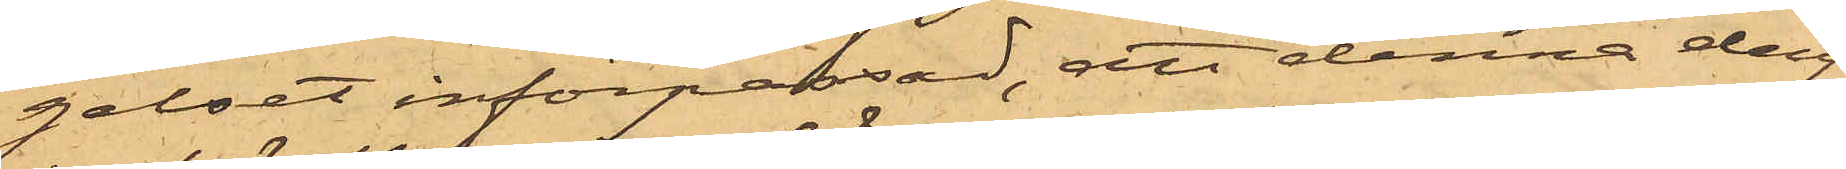gelset införpassad, att denna dag
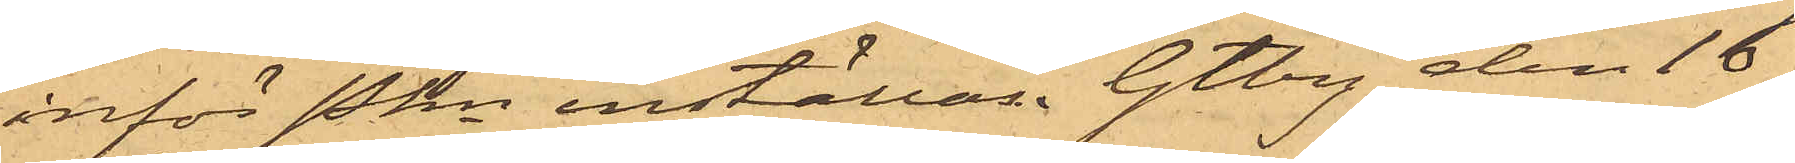inför Pkn inställas. Gtbg den 16
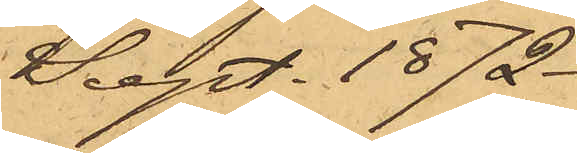Sept. 1872.
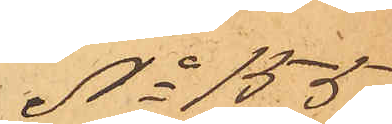No 155
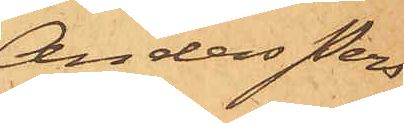Anders Pers¬
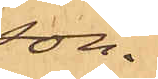son.
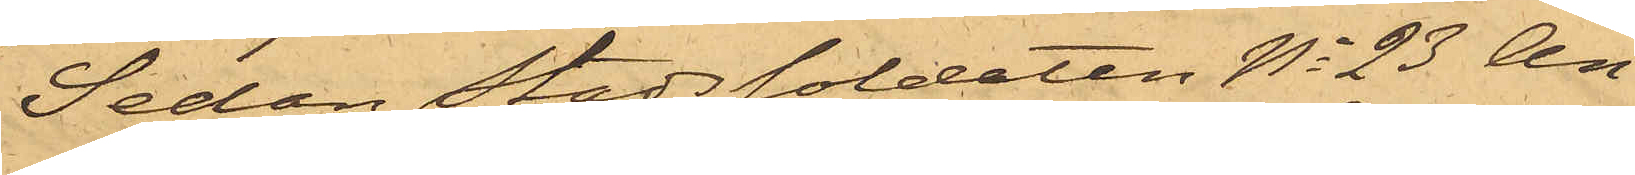Sedan Stadssoldaten No 23 An¬
